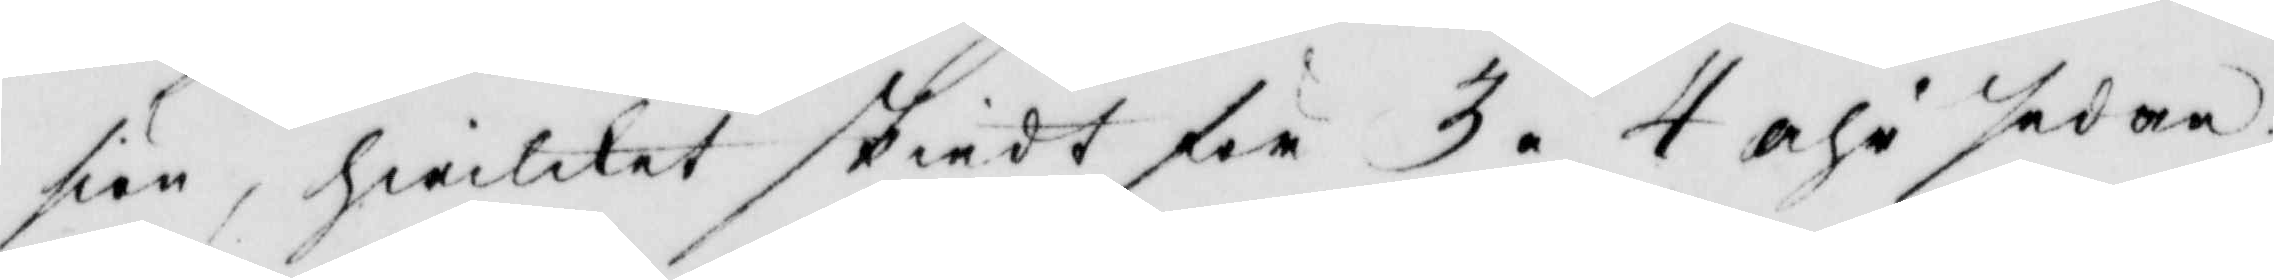siön, hwilket skiedt för 3 á 4 åhr sedan.
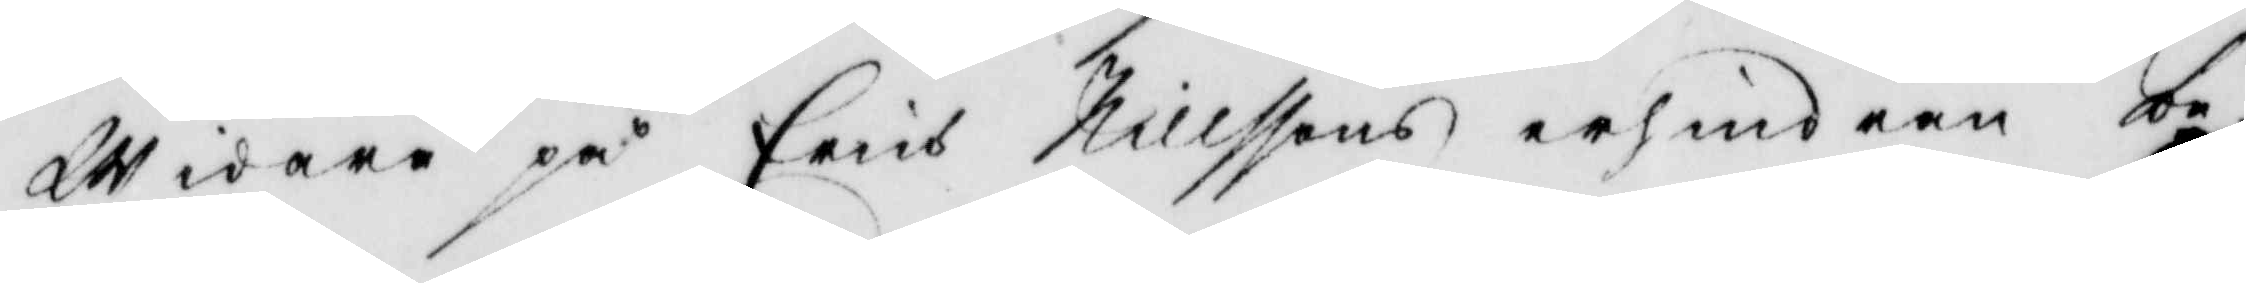Widare på Erich Nillssons erhindran be¬
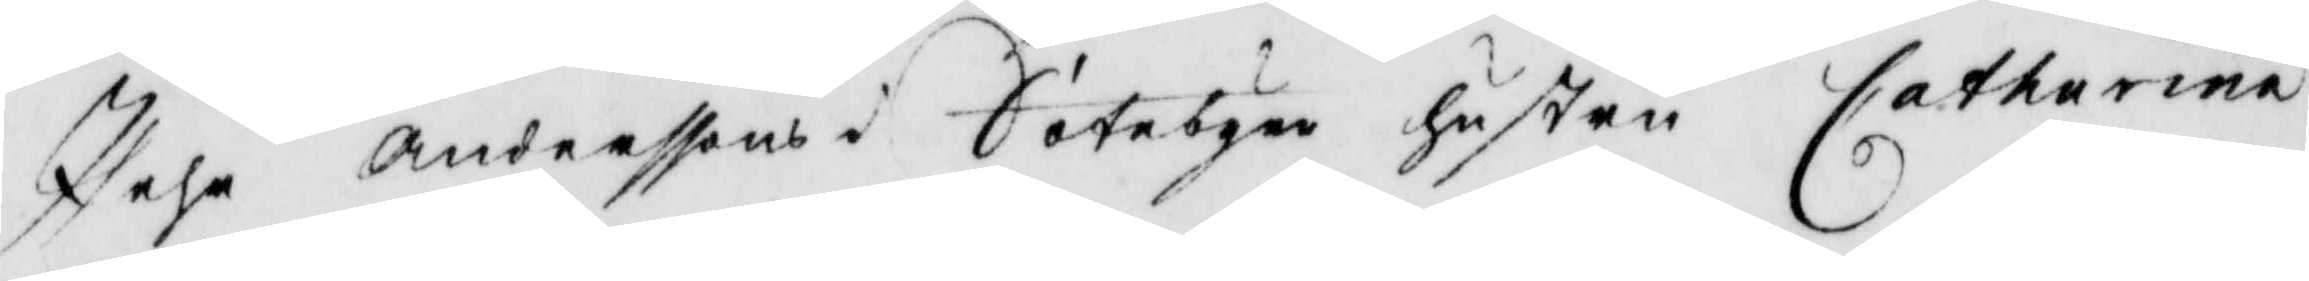Pehr Anderssons i Sätebyen hustru Catharina
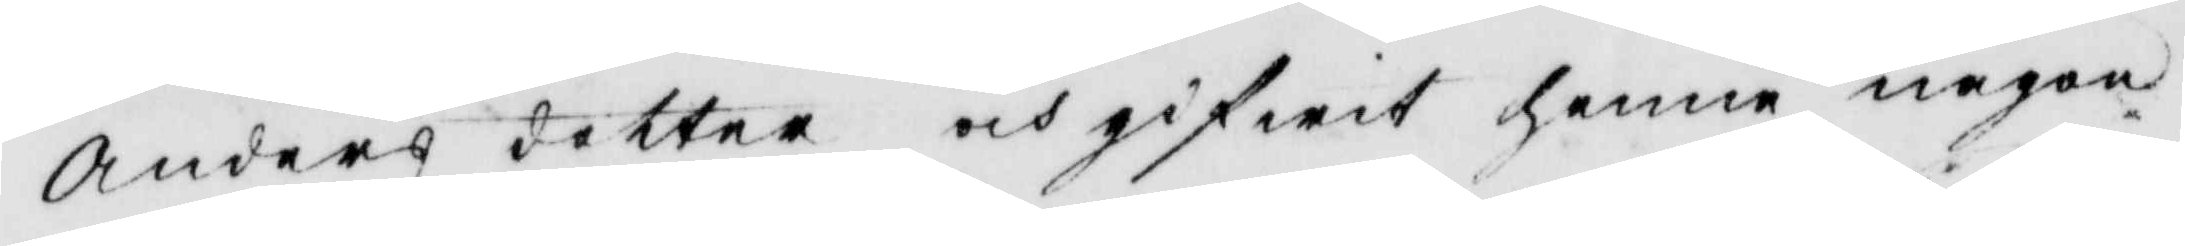Anders dotter och gifwit henne någon
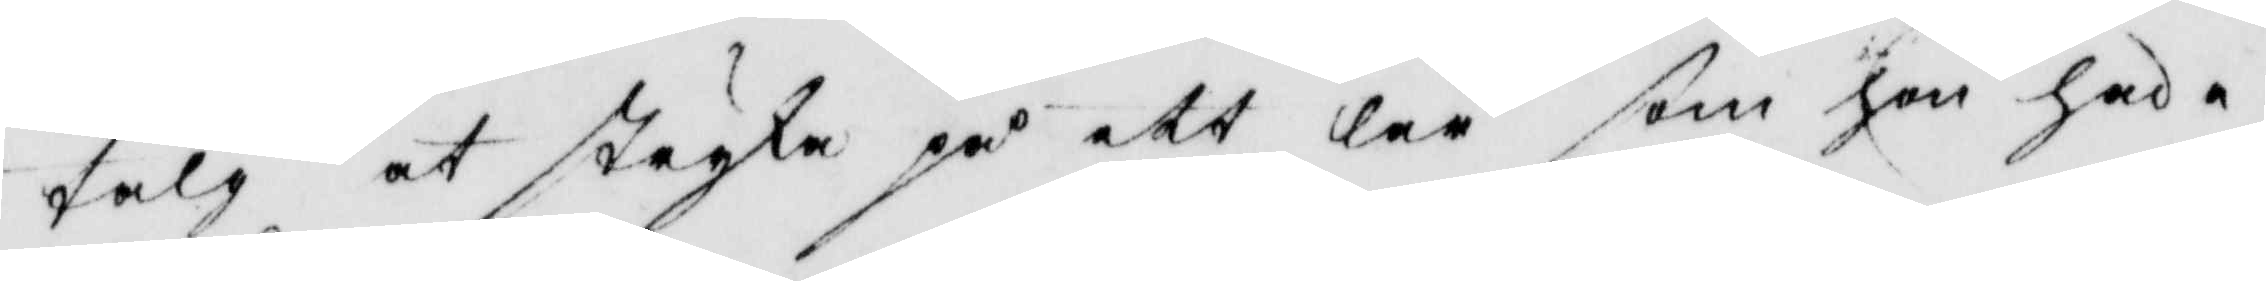talg att stryka på ett lår som hon hade
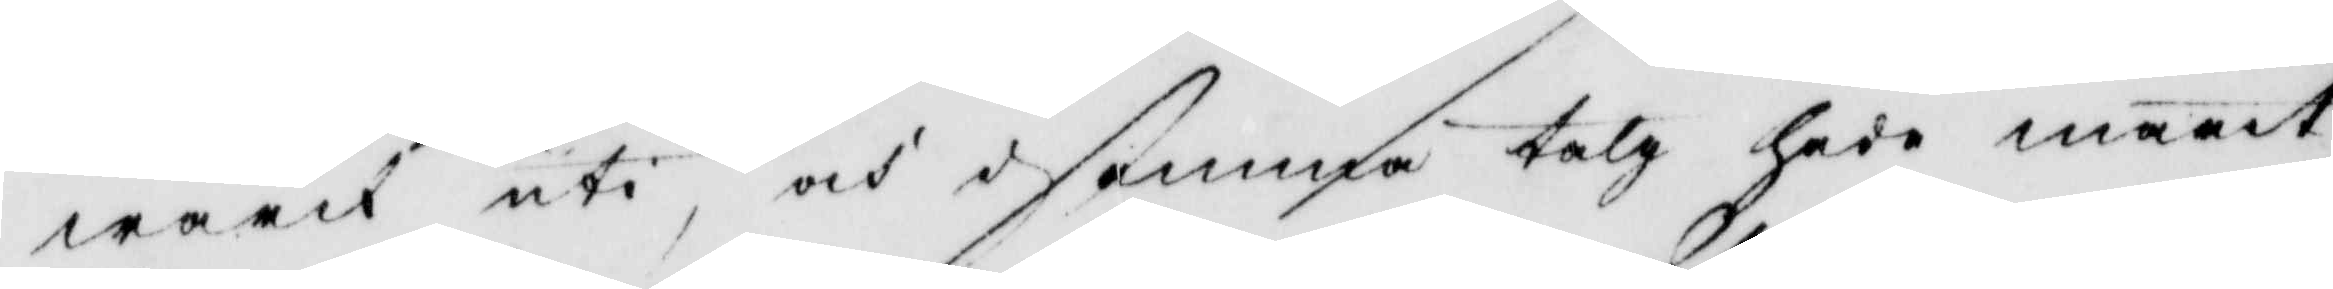wärck uti, och i samma talg hade marit
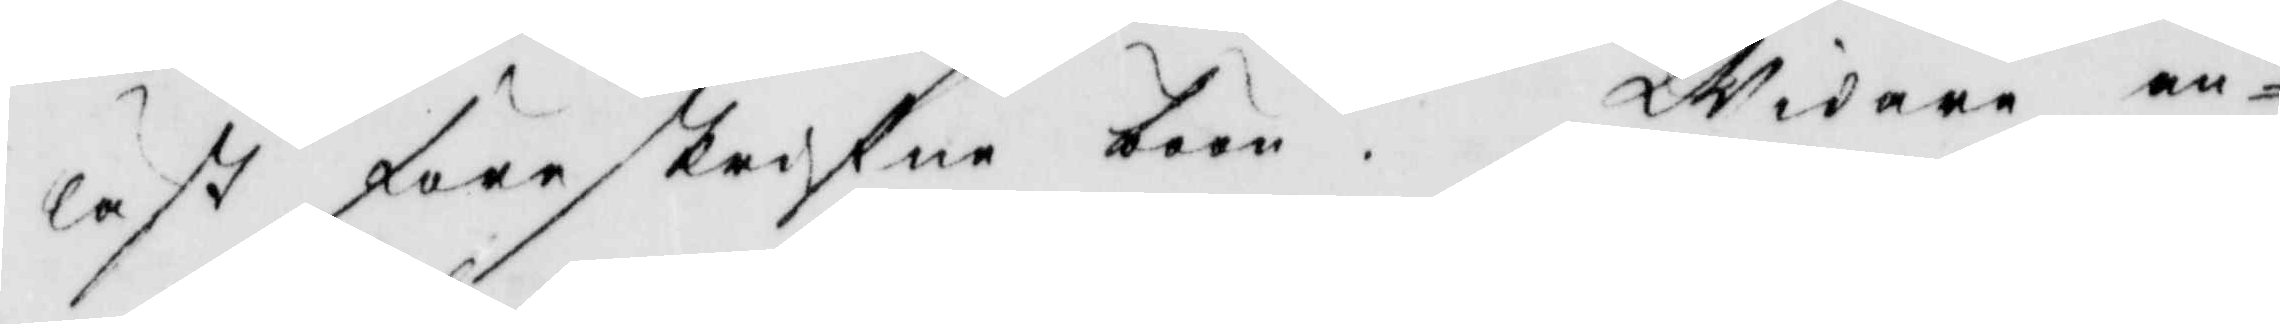läst föreskrifwen böön. Widare an¬
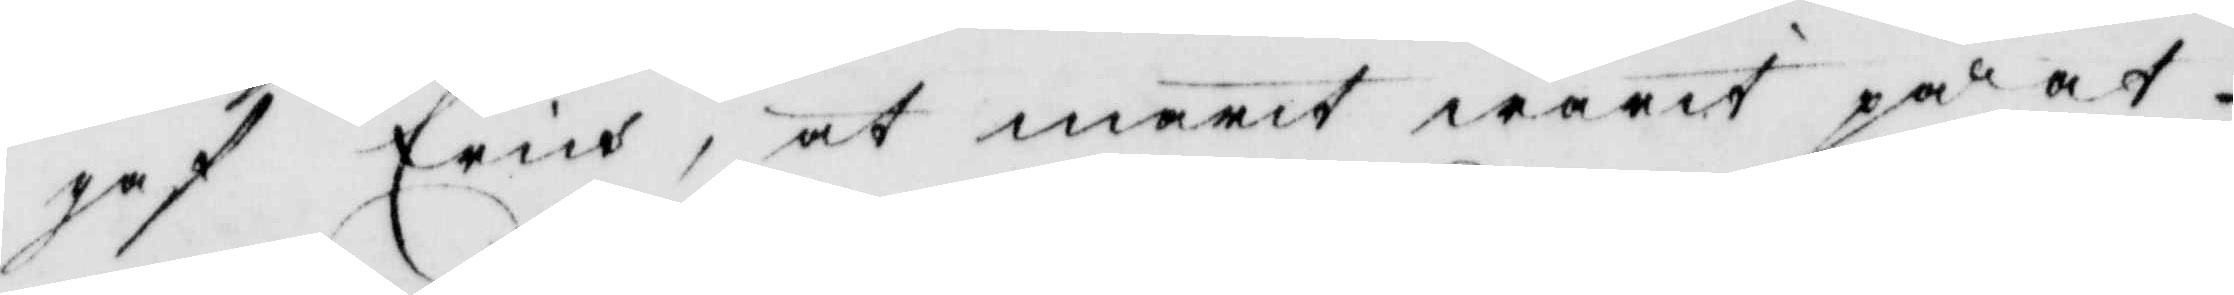gaf Erich, at marit warit på at
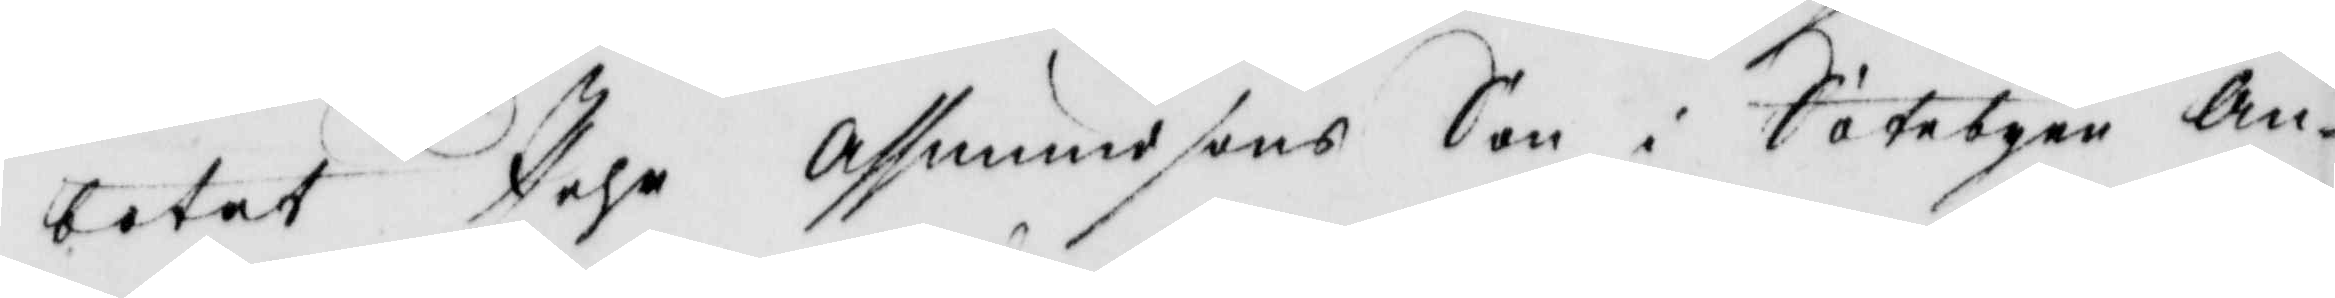botat Pehr Assmundsons Son i Sätebyen An¬
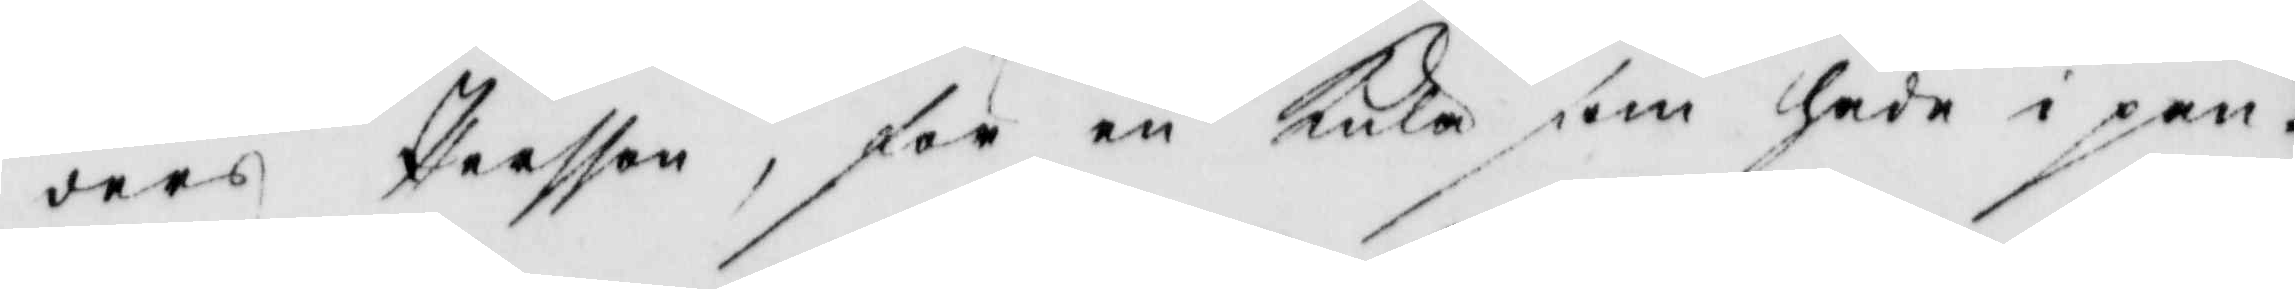ders Persson, för en kula som hade i pan¬
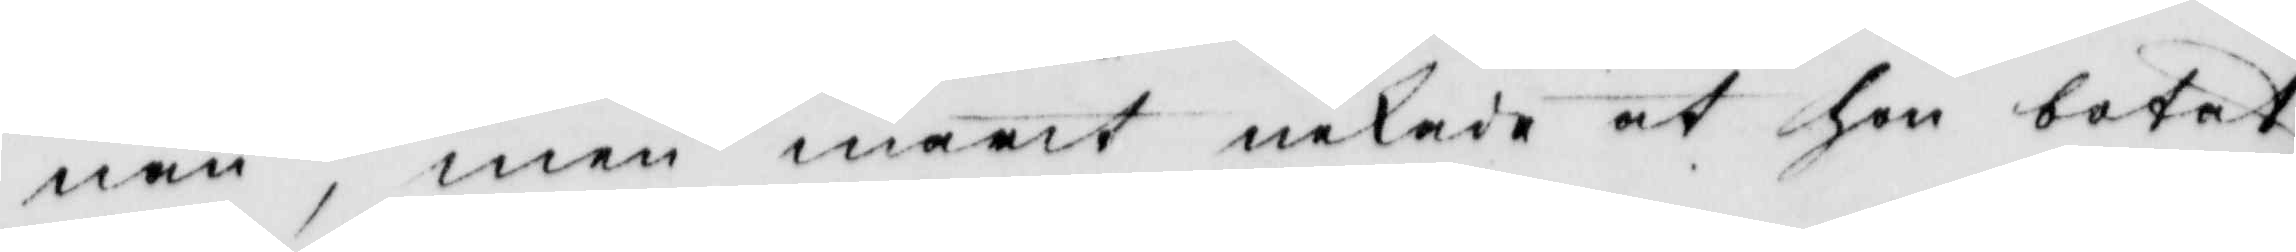nan, men marit nekade at hon botat
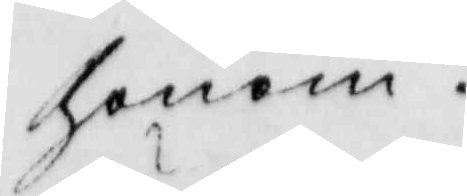honom.
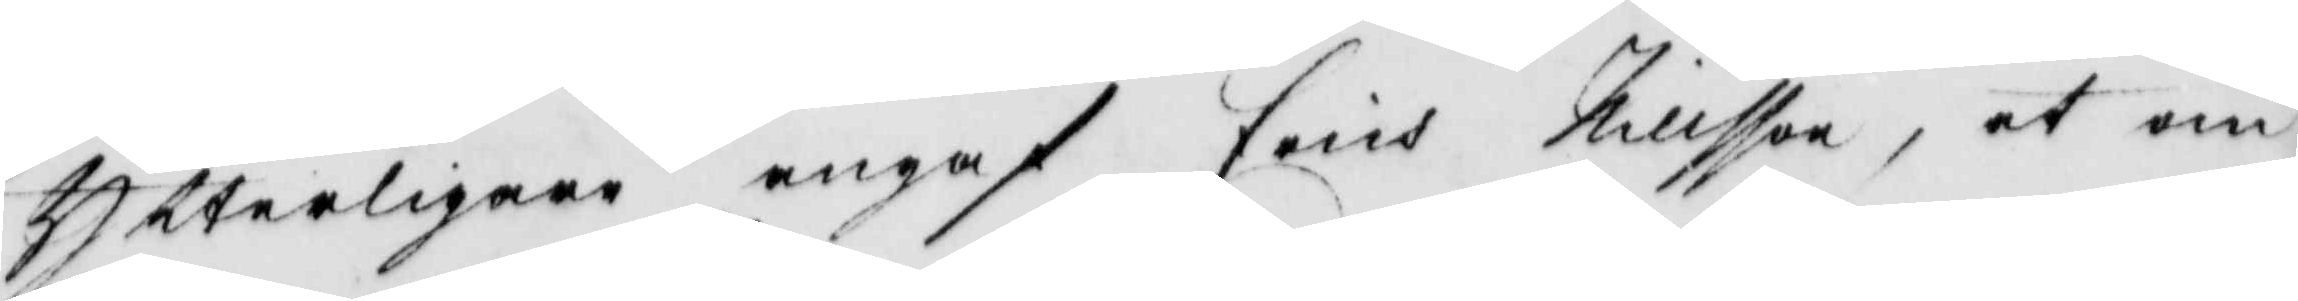Ytterligare angaf Erich Nillsson, at om
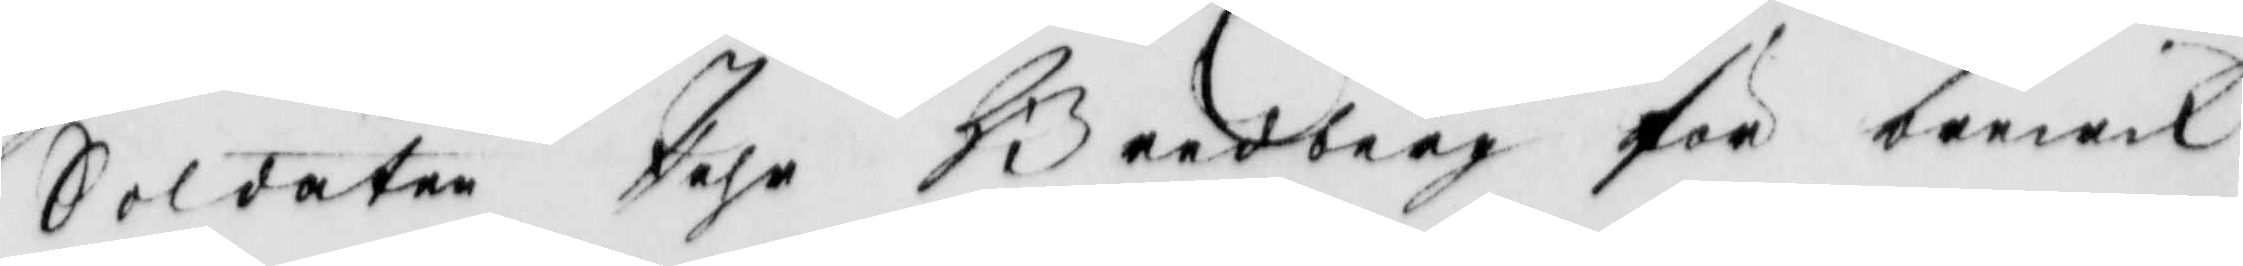Soldaten Pehr Bredberg för brewik
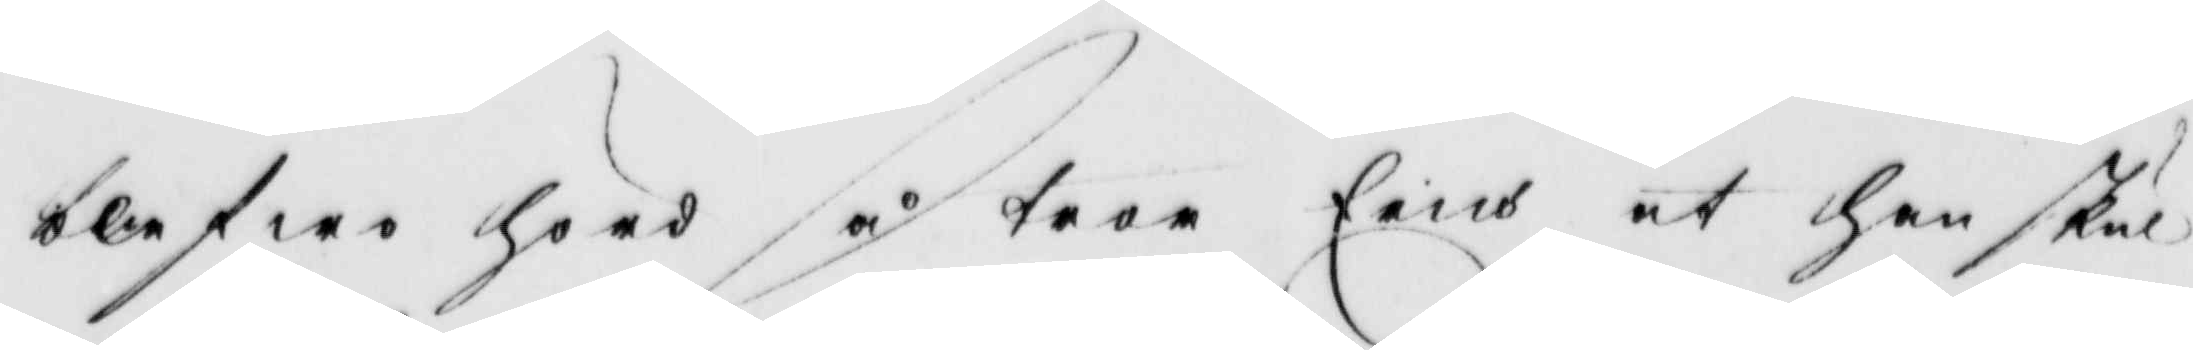blefwe hörd så tror Erich at han skul¬
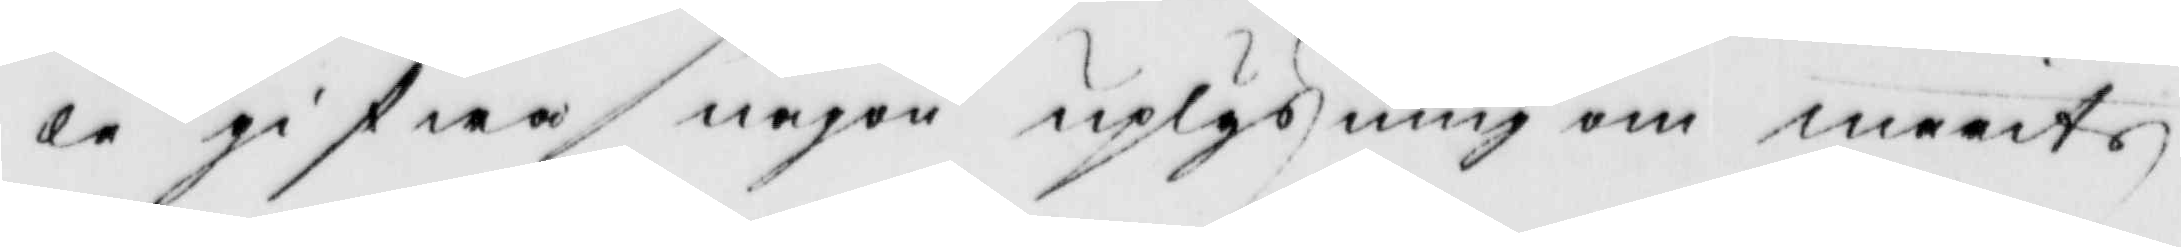le gifwa någon uplysning om marits
